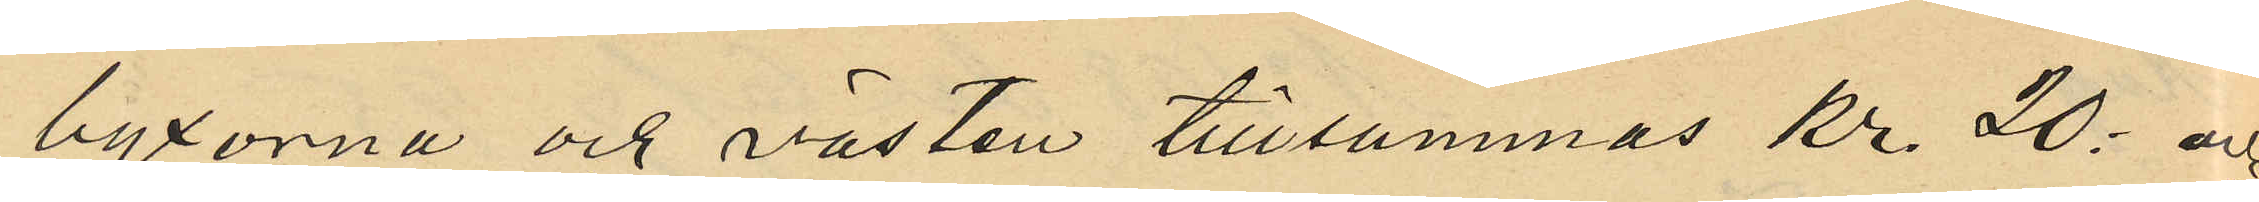byxorna och västen tillsammas Kr 20: och
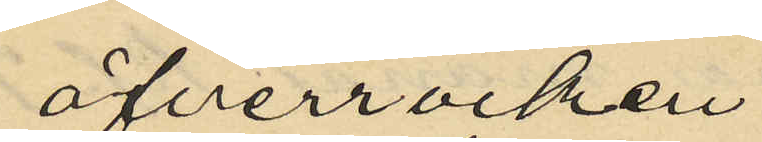öfverrocken
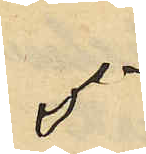5
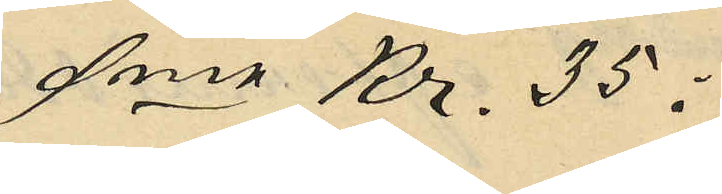Sma Kr. 35:
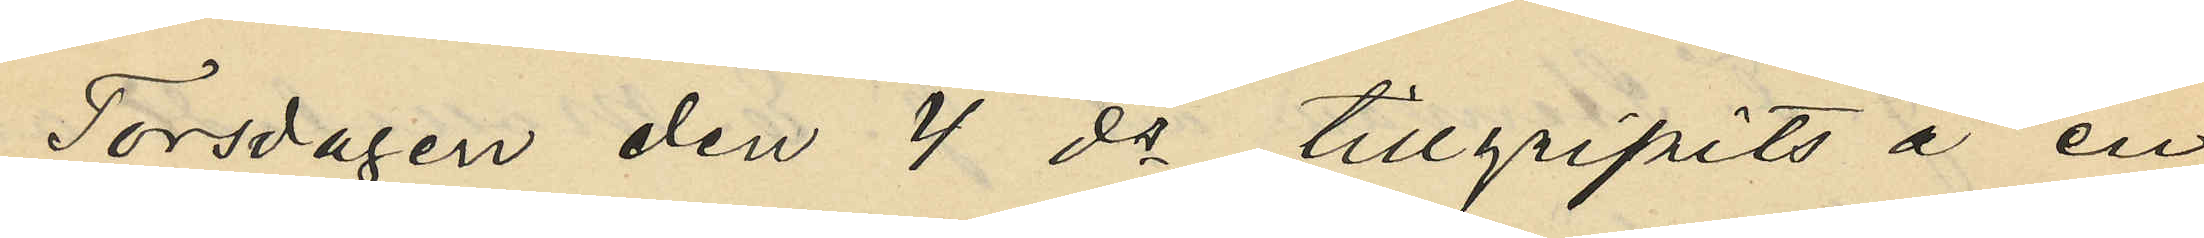Torsdagen den 4 ds tillgripits å en
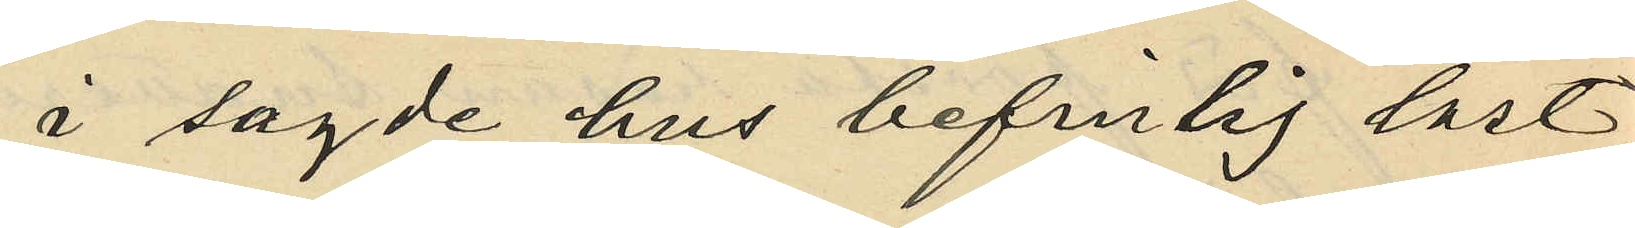i sagde hus befintig låst
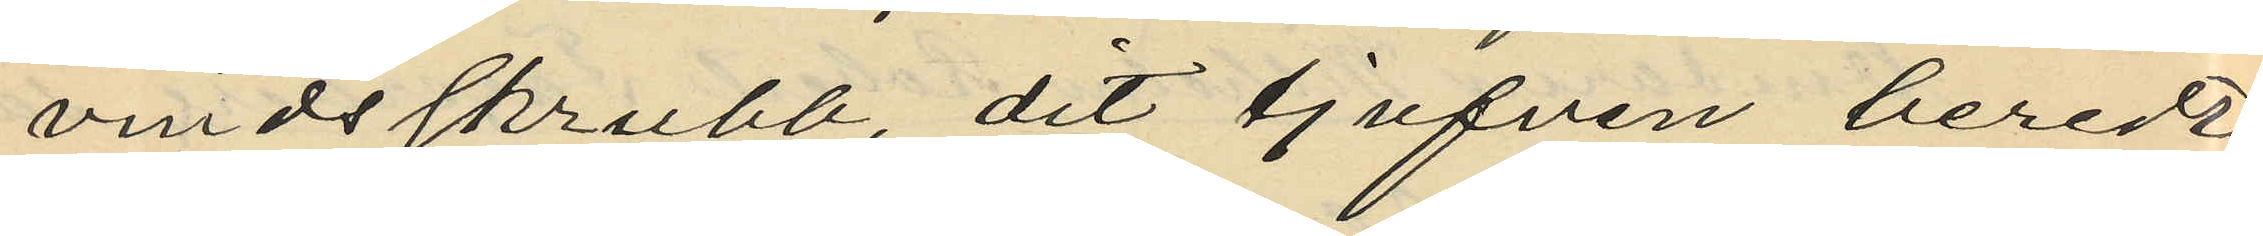vindsskrubb, dit tjufven beredt
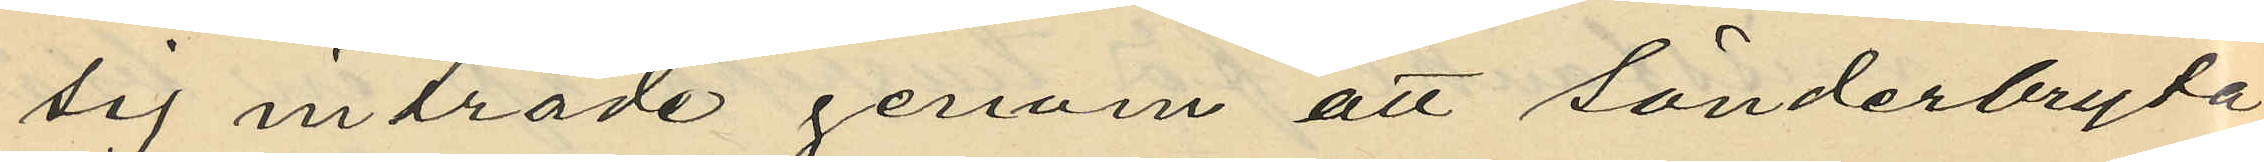sig inträde genom att sönderbryta
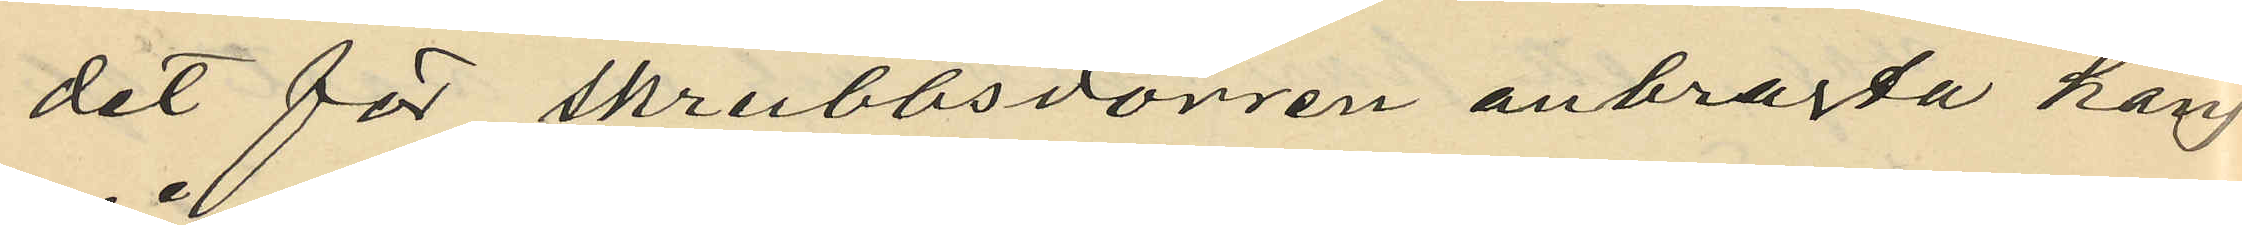det för skrubbsdörren anbragta häng¬
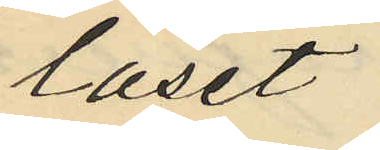låset.
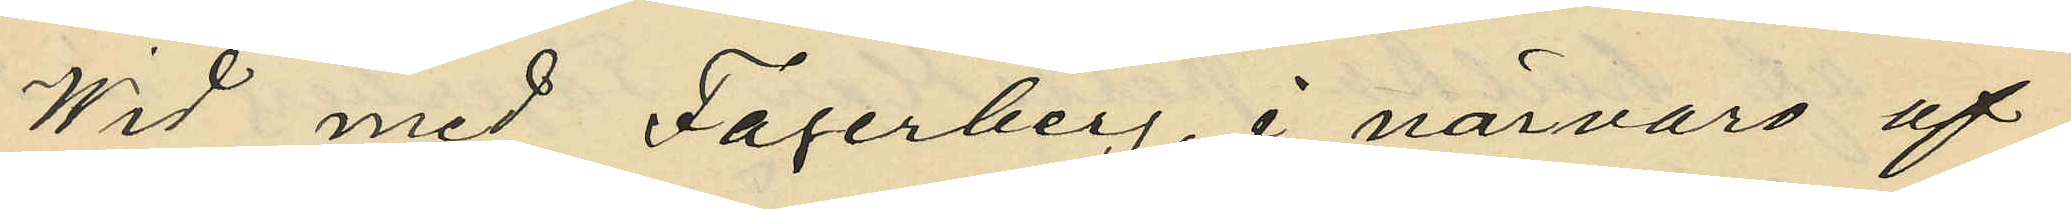Wid med Fagerberg, i närvaro af
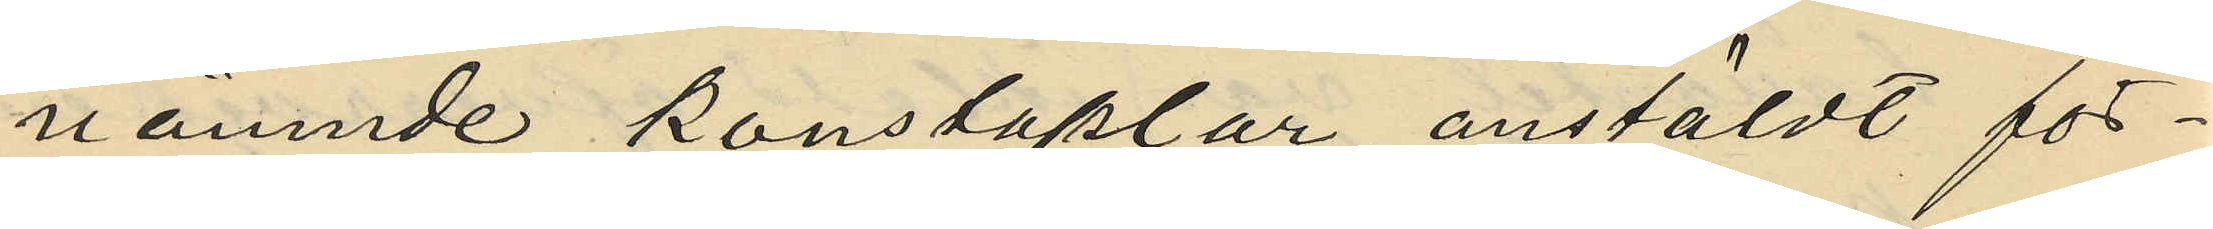nämnde konstaplar anstäldt för¬
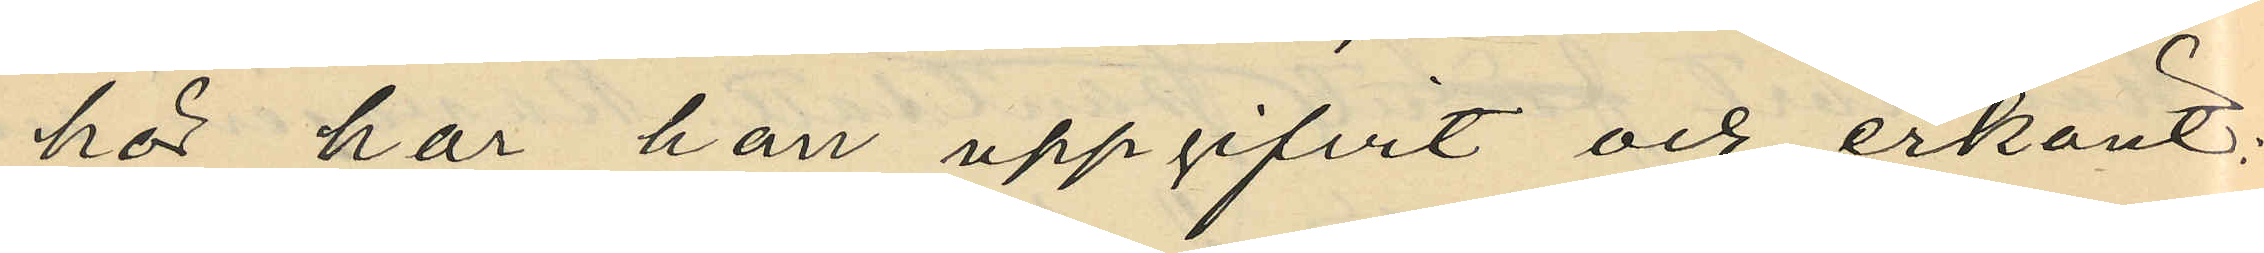hör har han uppgifvit och erkänt:
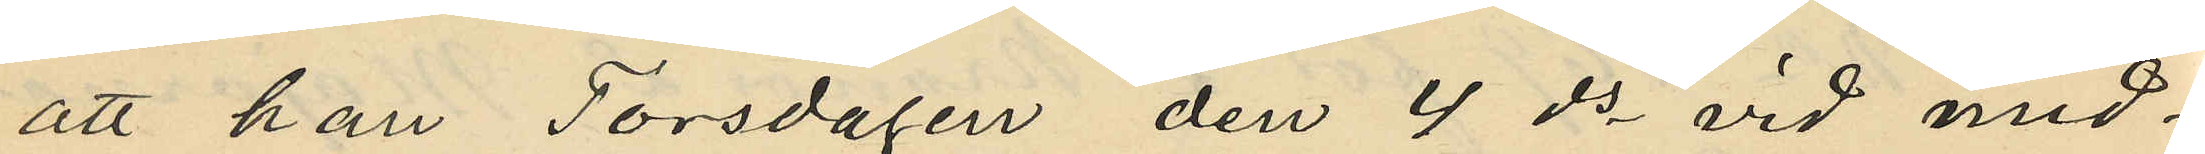att han Torsdagen den 4 ds vid mid¬
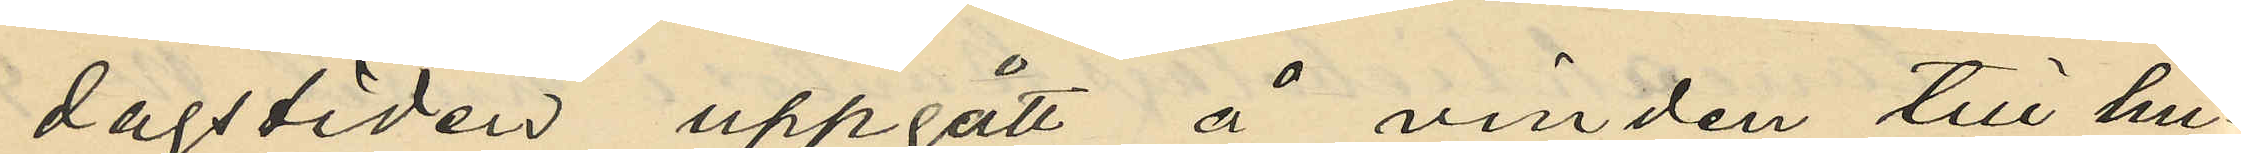dagstiden uppgått å vinden till hu¬
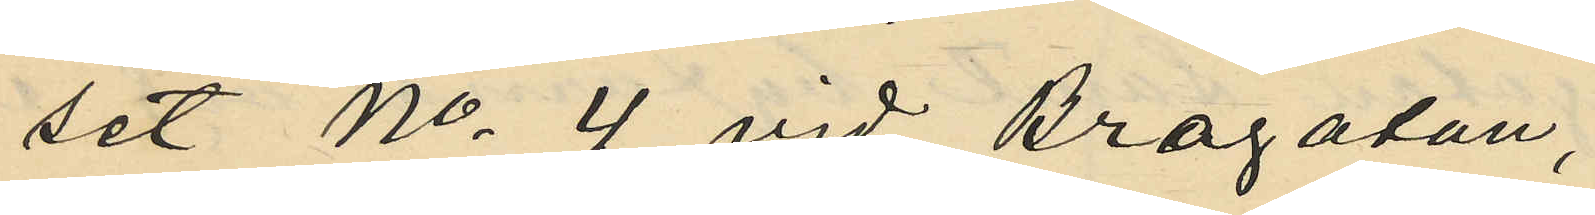set No 4 vid Brogatan,
